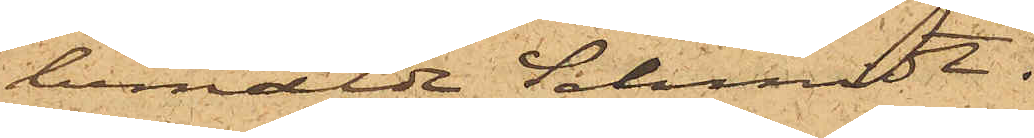bemälde Schmidt.
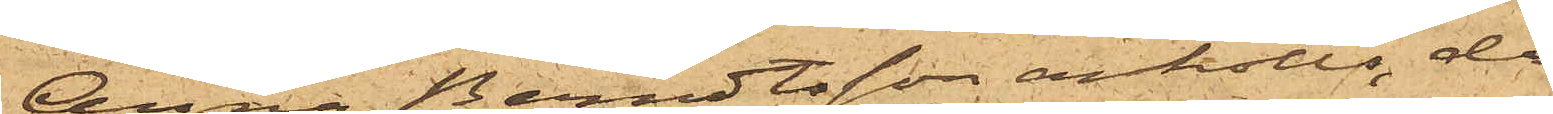Anna Berndtsson anhölls, då
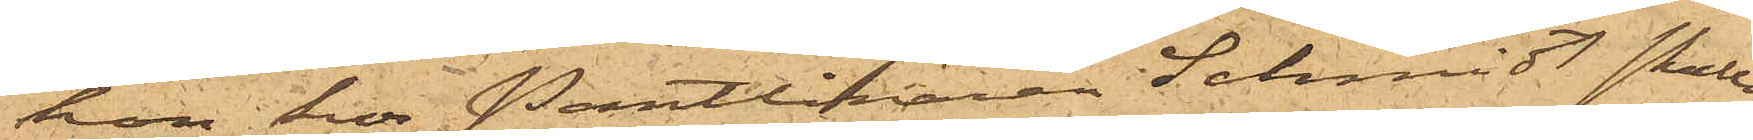hon hos Pantlånaren Schmidt skulle
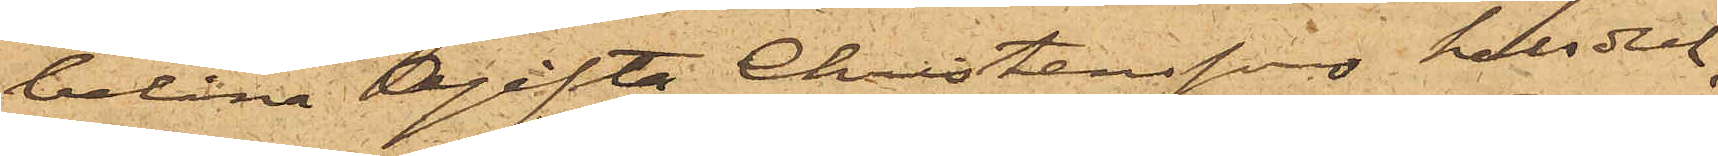belåna Ogifta Christenssons halsduk,
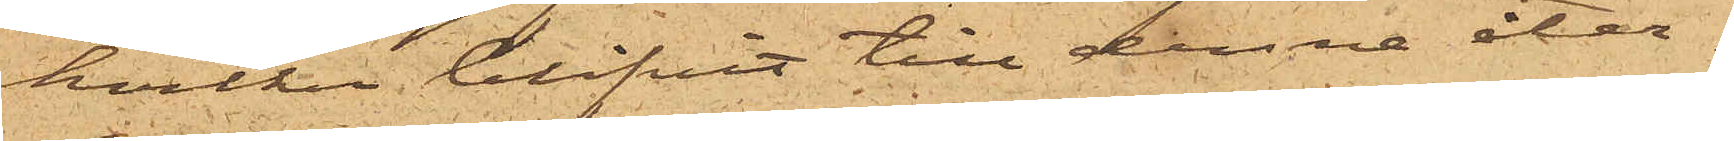hvilken blifvit till denna åter¬
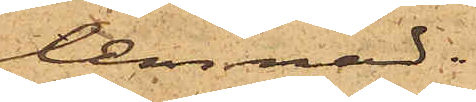lemnad;
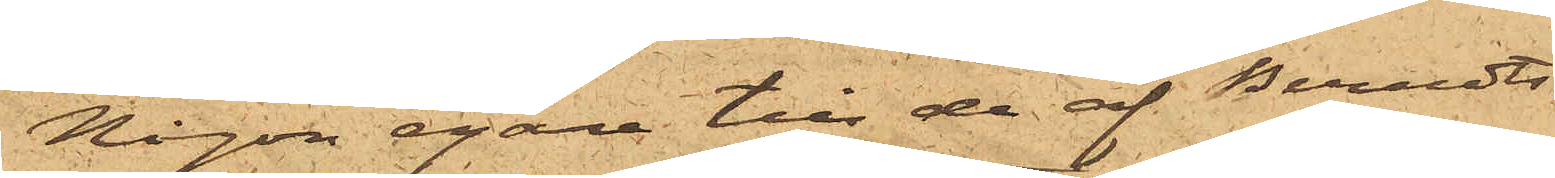Någon egare till de af Berndts¬
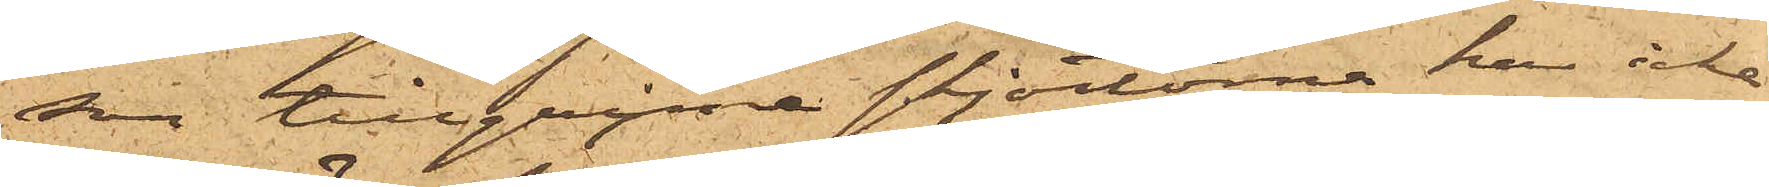son tillgripne skjortorna har icke
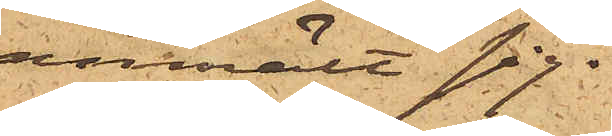anmält sig.
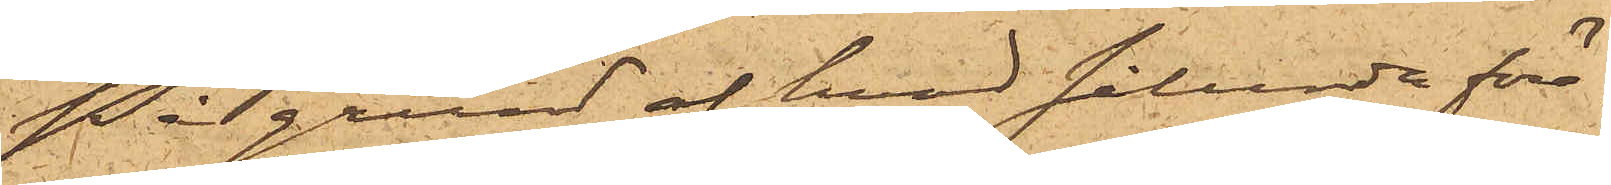På grund af hvad sålunda före¬
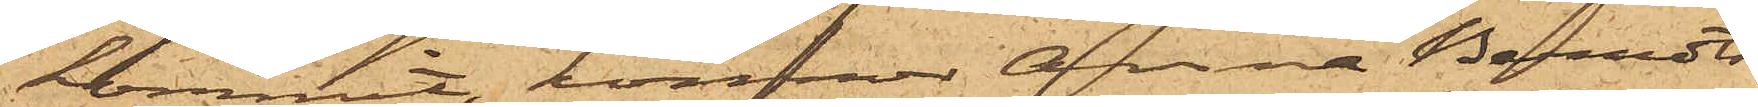kommit, kommer Anna Berndts¬
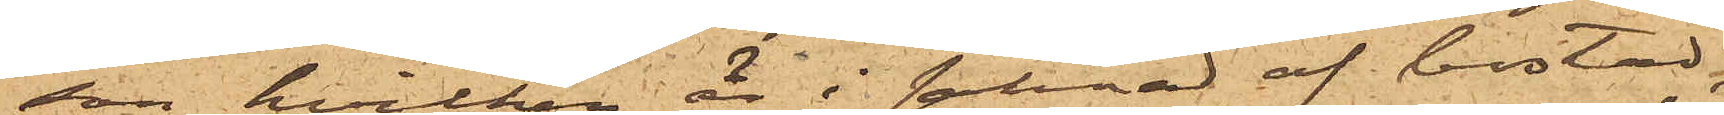son, hvilken är i saknad af bostad,
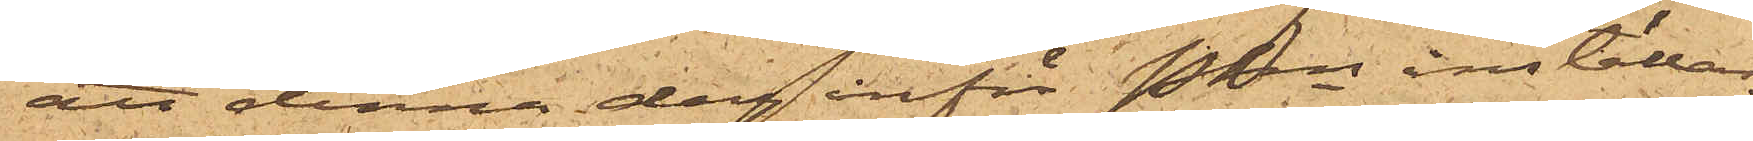att denna dag inför Pkn inställas.
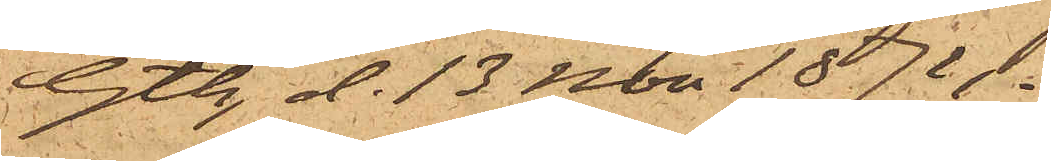Gtbg d. 13 Nov 1874.
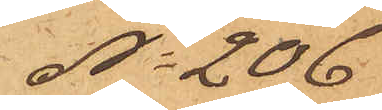No 206
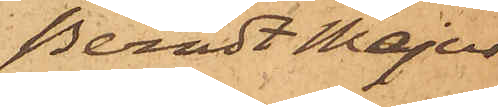Berndt Majus
